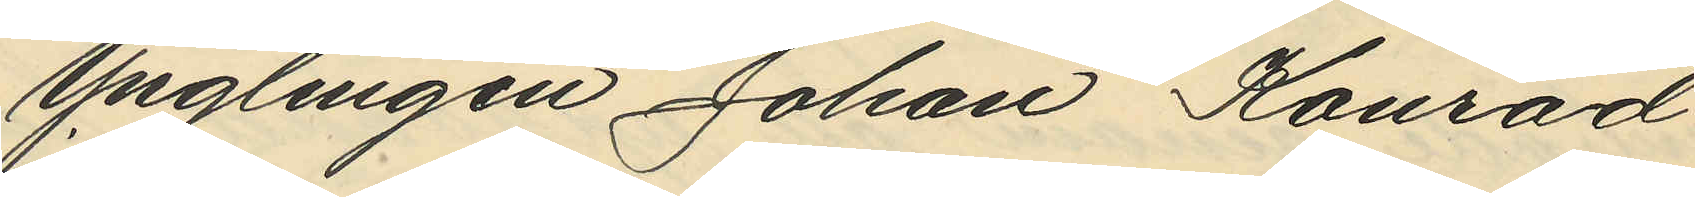Ynglingen Johan Konrad
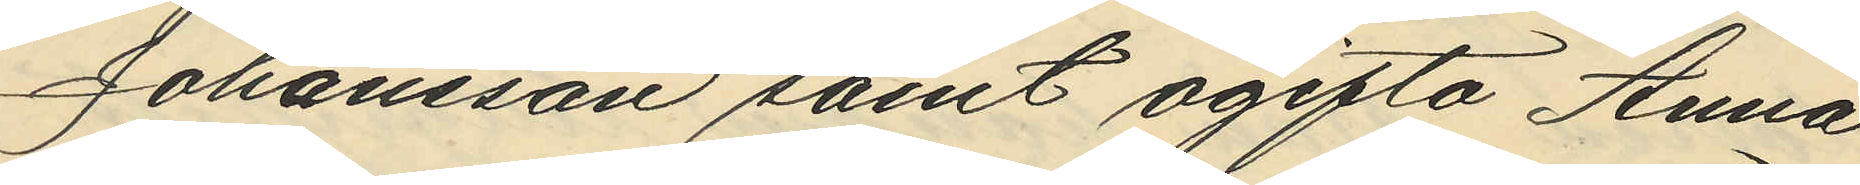Johansson samt ogifta Anna
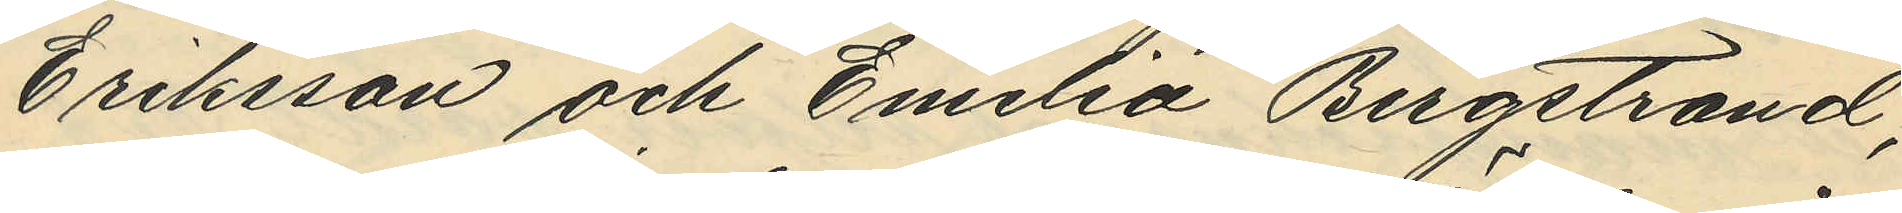Eriksson och Emelia Bergstrand,
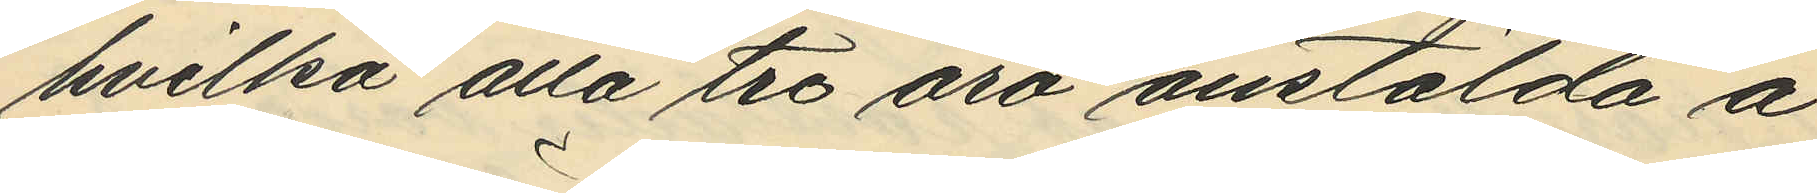hvilka alla tre äro anstälda å
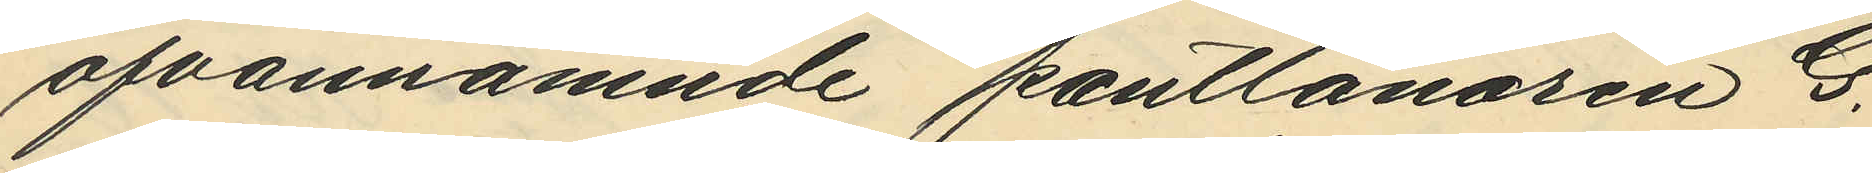ofvannämnde pantlånaren G.
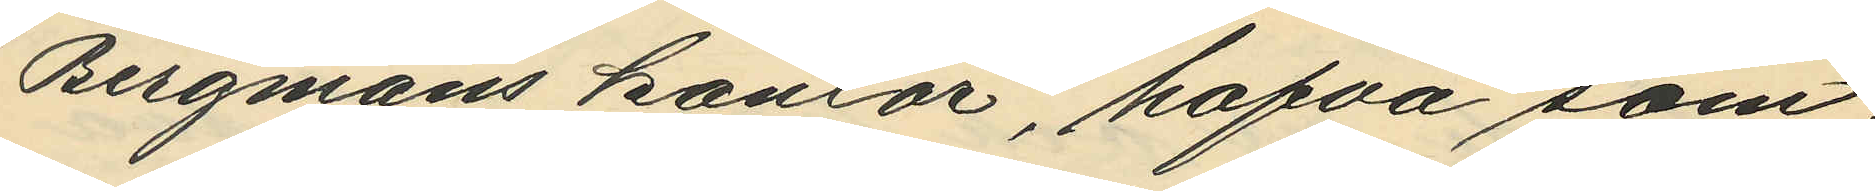Bergmans kontor, hafva sam¬
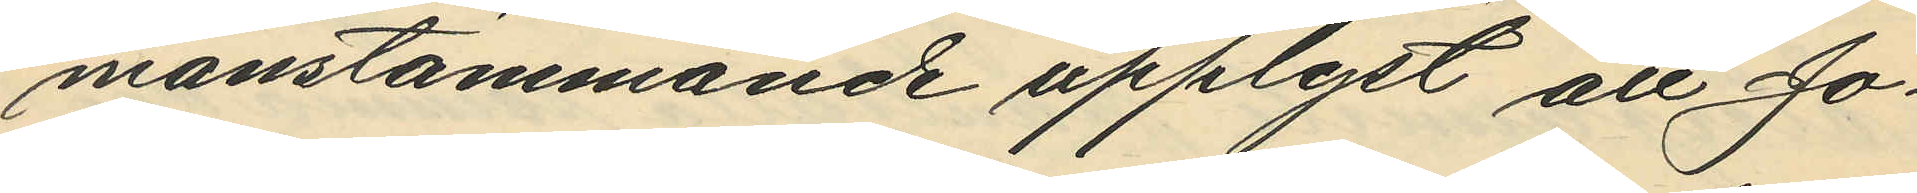manstämmande upplyst att Jo¬
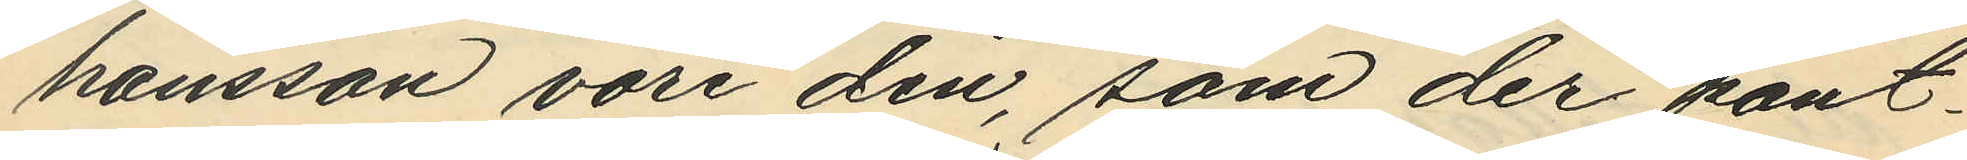hansson vore den, som der pant¬
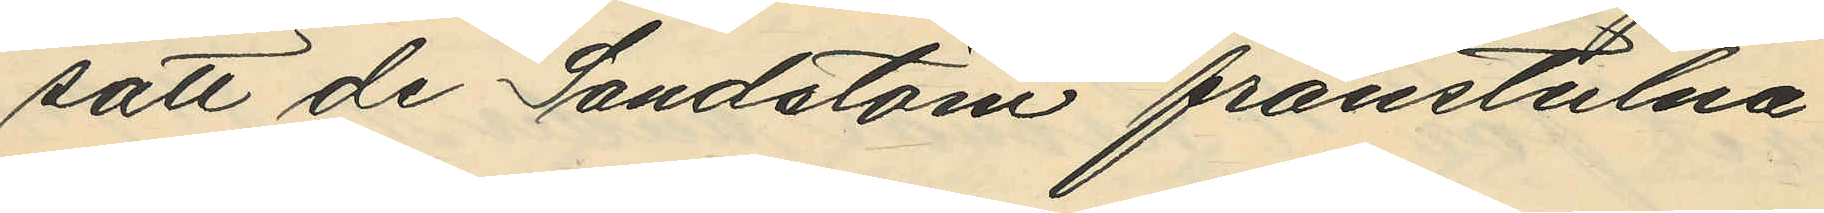satt de Sandstöm frånstulna
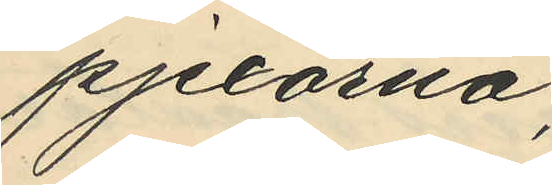pjexorna;
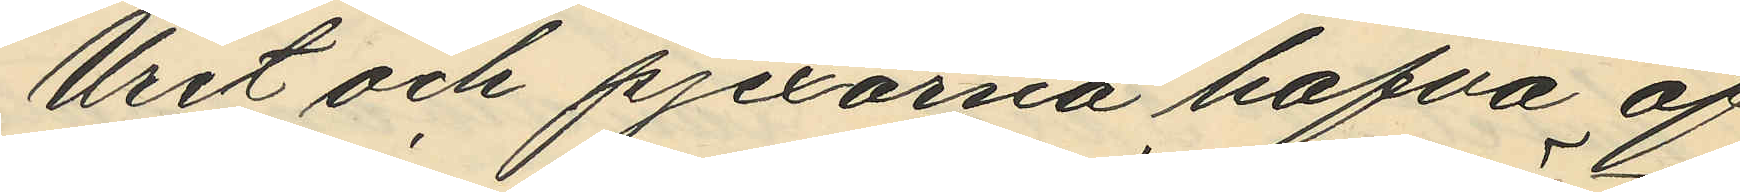Uret och pjexorna hafva af
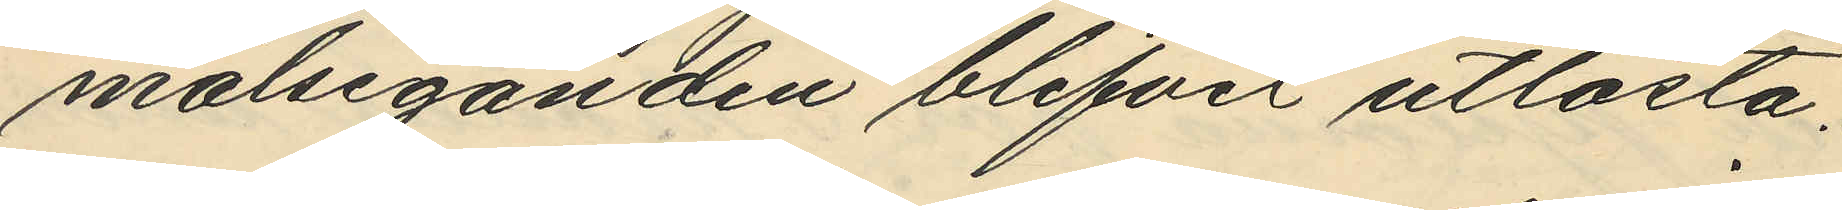målseganden blifvit utlösta.
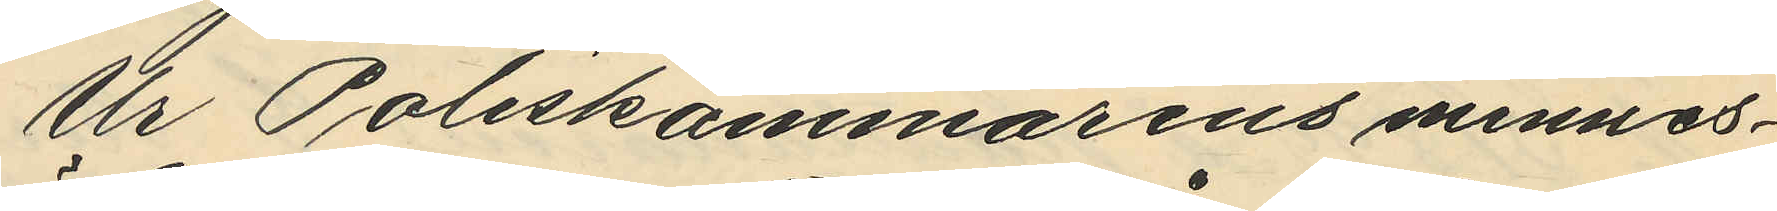Ur Poliskammarens minnes¬
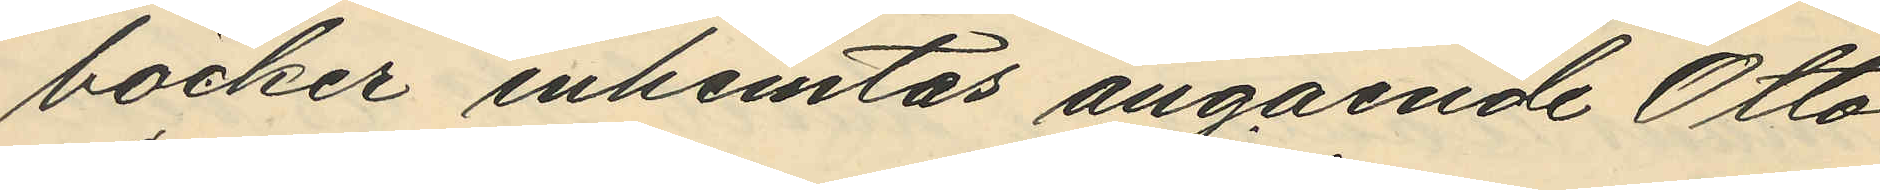böcker inhemtas angående Otto
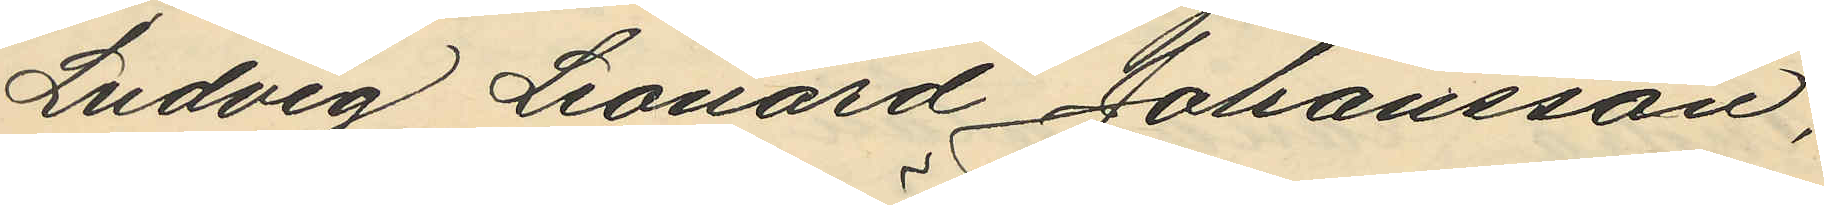Ludvig Leonard Johansson,
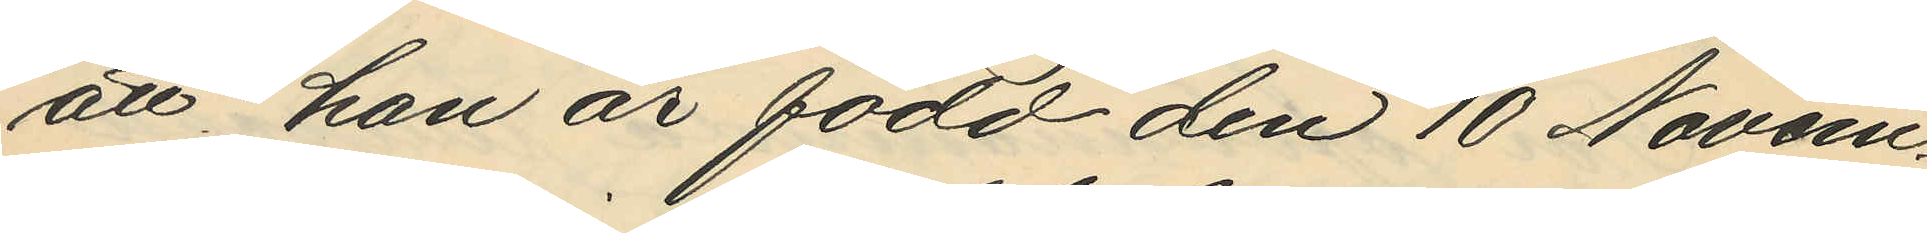att han är född den 10 Novem¬
